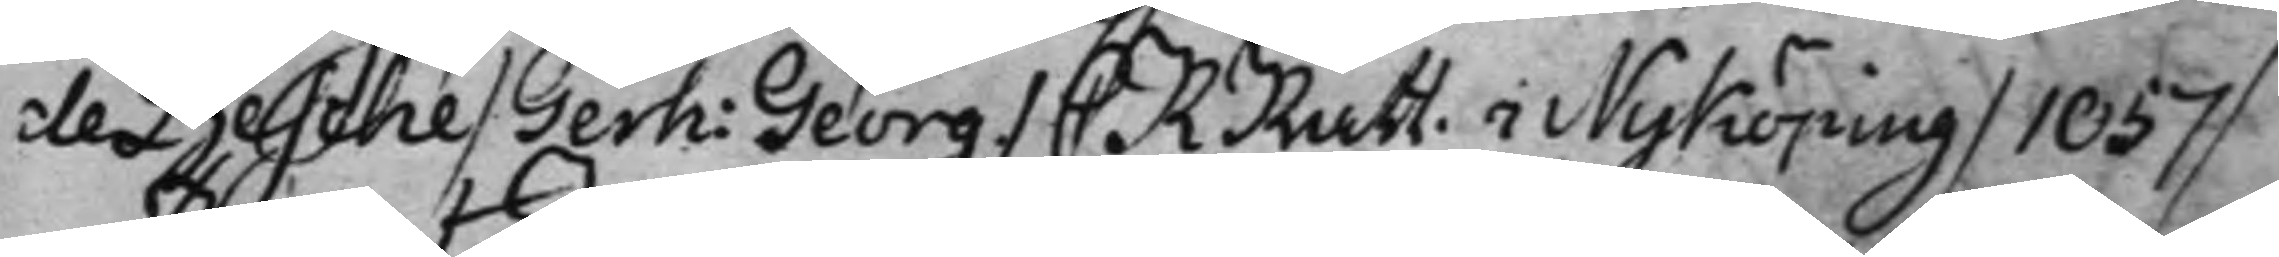de Besche / Gerh: Georg / C RRätt. i Nyköping / 1057 / 
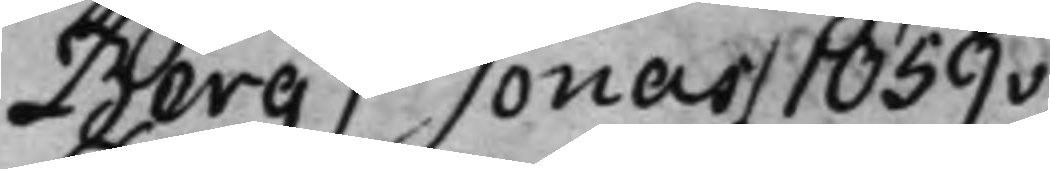Berg / Jonas / 1059v /
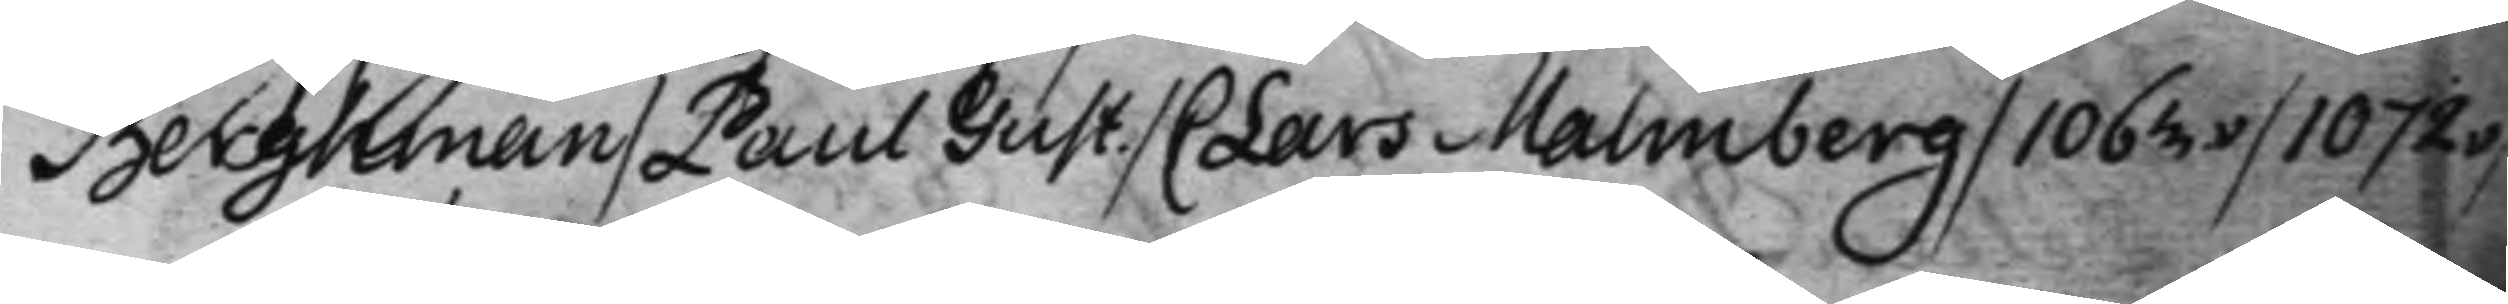Berghman / Paul Gust. / C Lars Malmberg / 1063v / 1072v / 
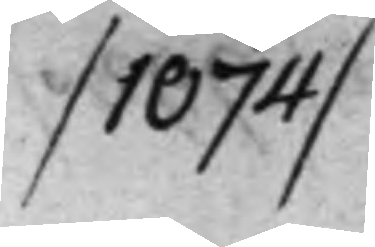/ 1074 /
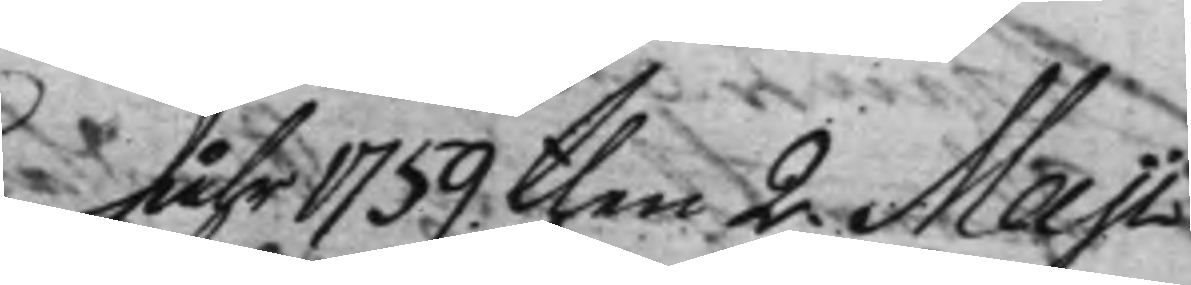Åhr 1759 then 2 Maji
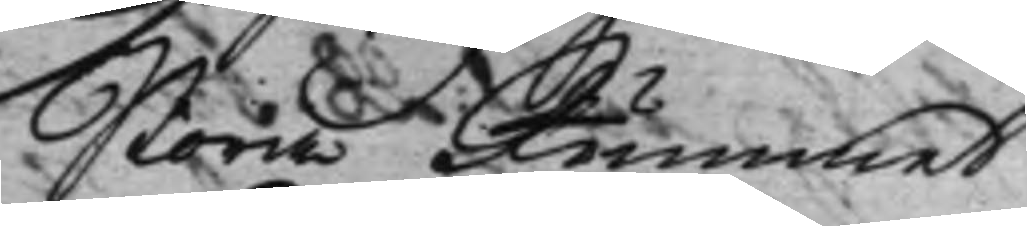Stora Rummet
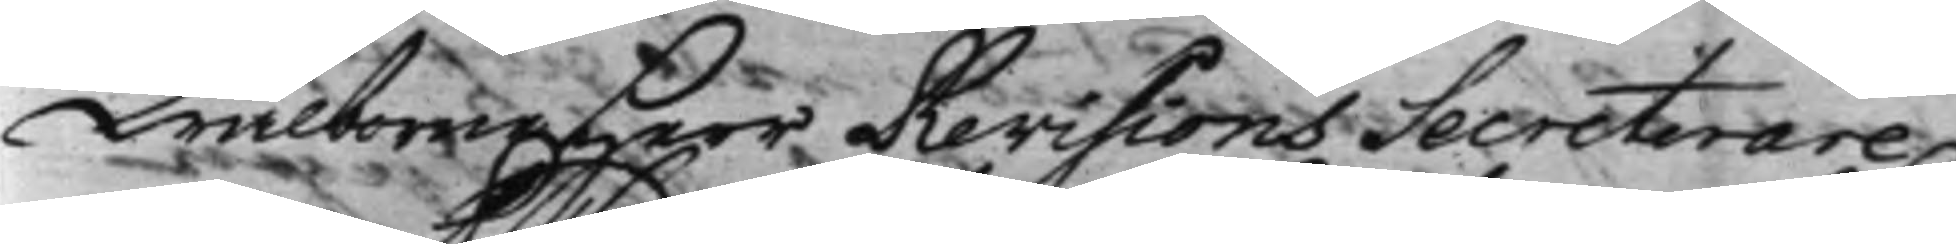Wälborne Herr RevisionsSecreterare
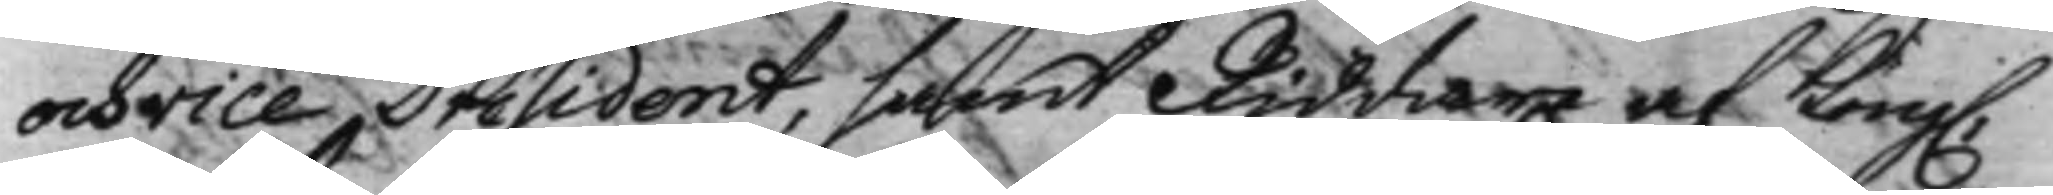och vice Président, samt Riddare af Kong. 
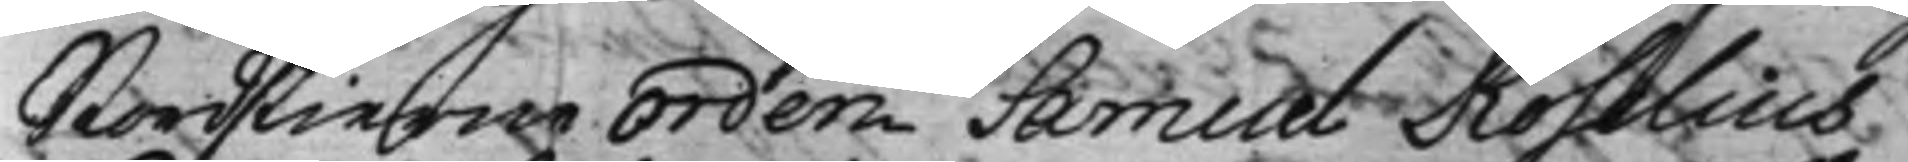Nordstierne Orden Samuel Roselius,
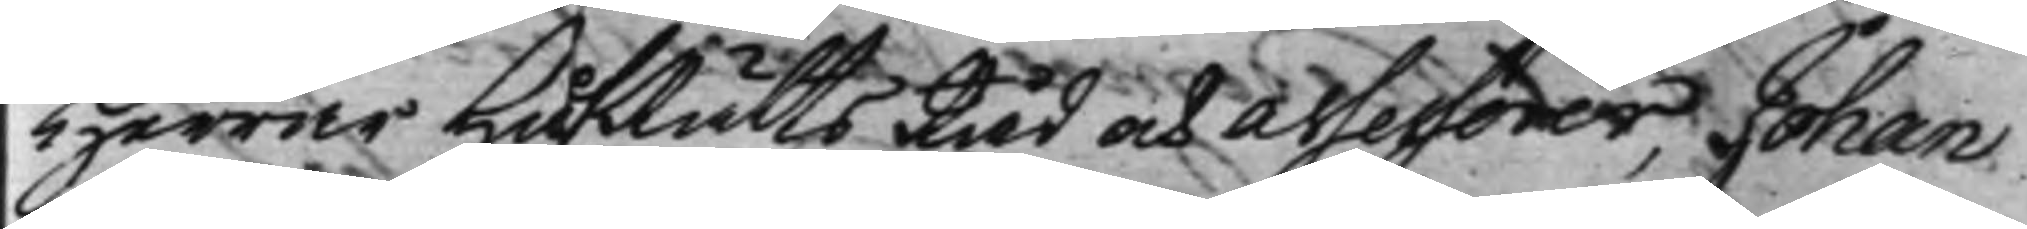Herrar HåfRättsRåd och Assessorer, Johan
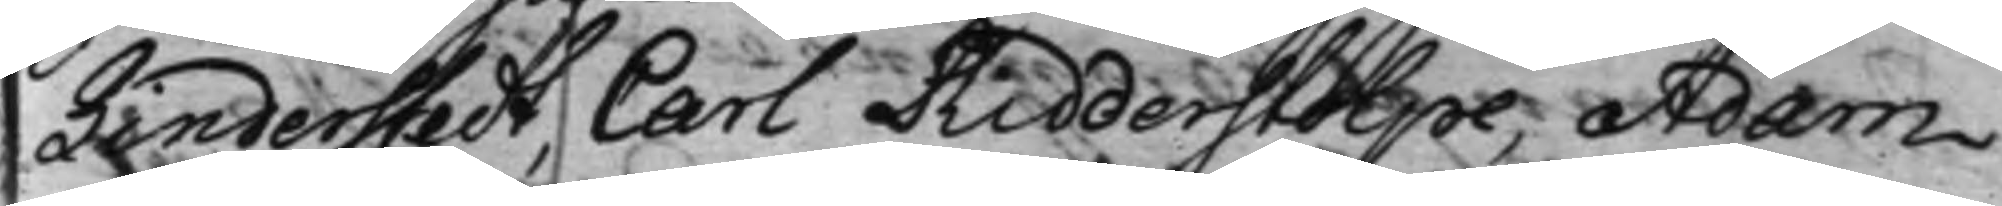Linderstedt, Carl Ridderstolpe, Adam
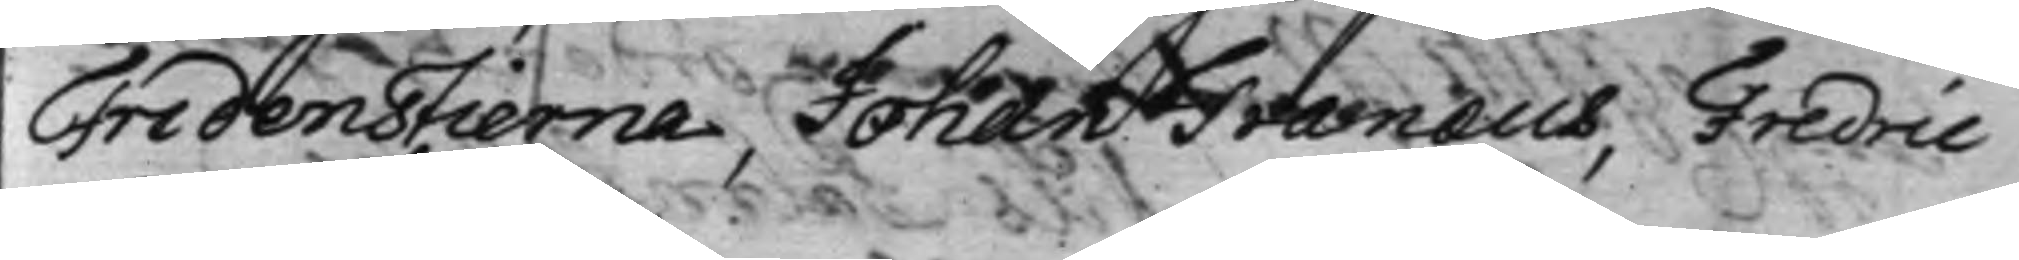Fredenstierna, Johan Tranæus, Fredric
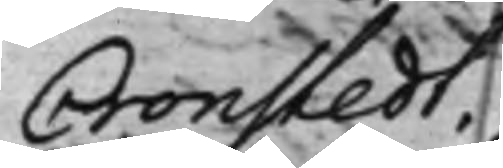Cronstedt.
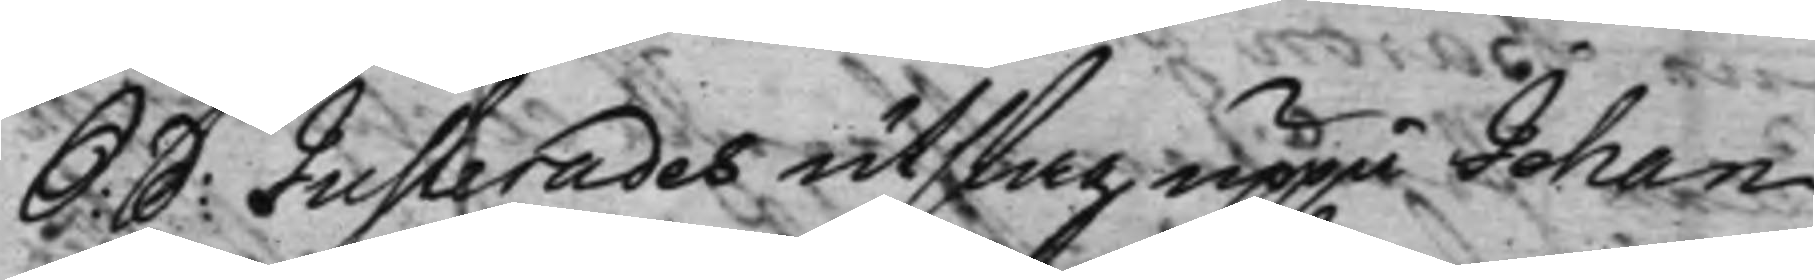S: D: Justerades utslag uppå Johan 
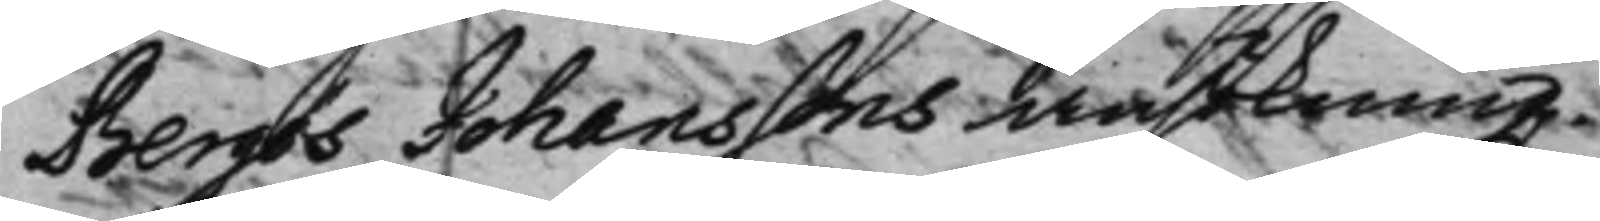Bergös Johanssons ansökning.
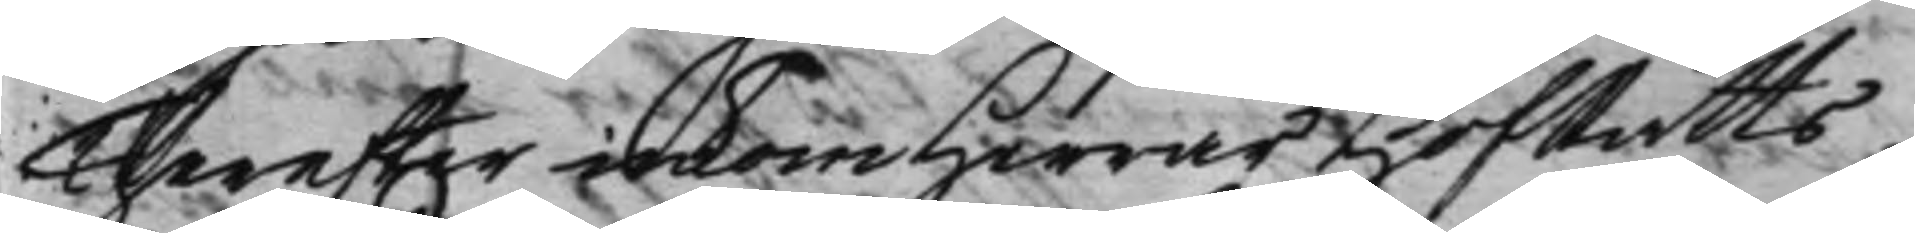Therefter inkom Herrar HofRätts¬
